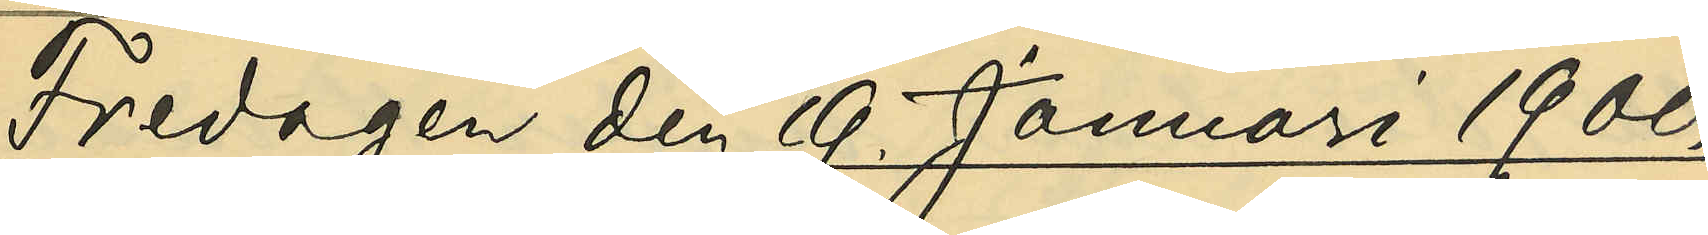Fredagen den 19. Januari 1900.
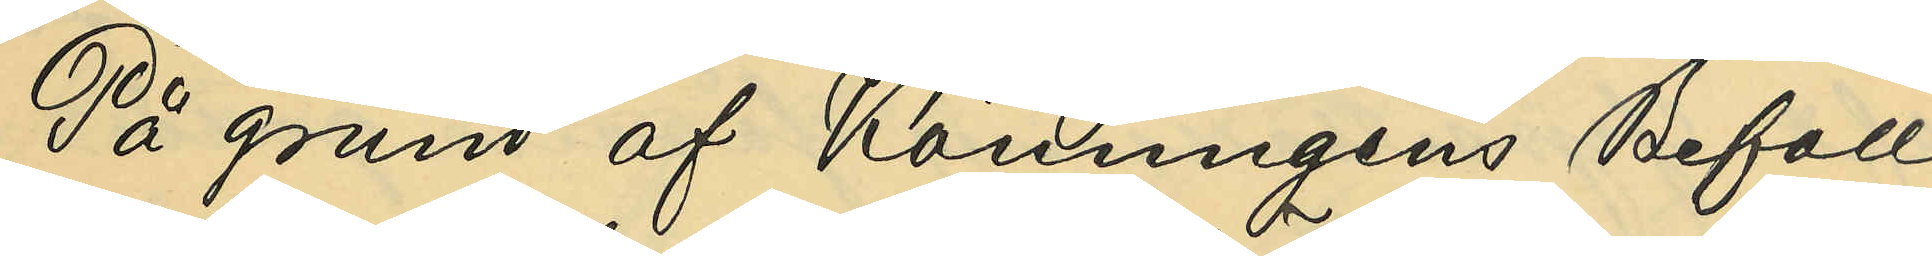På grund af Konungens Befall¬
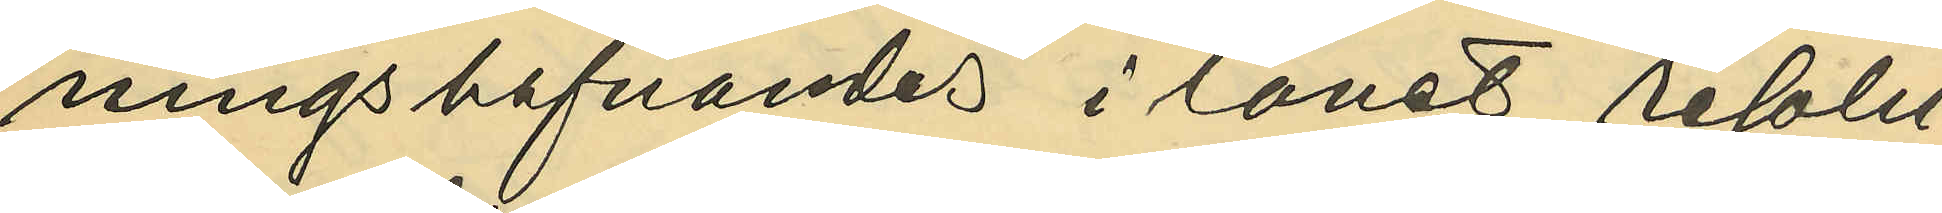ningshafvandes i länet resolu¬
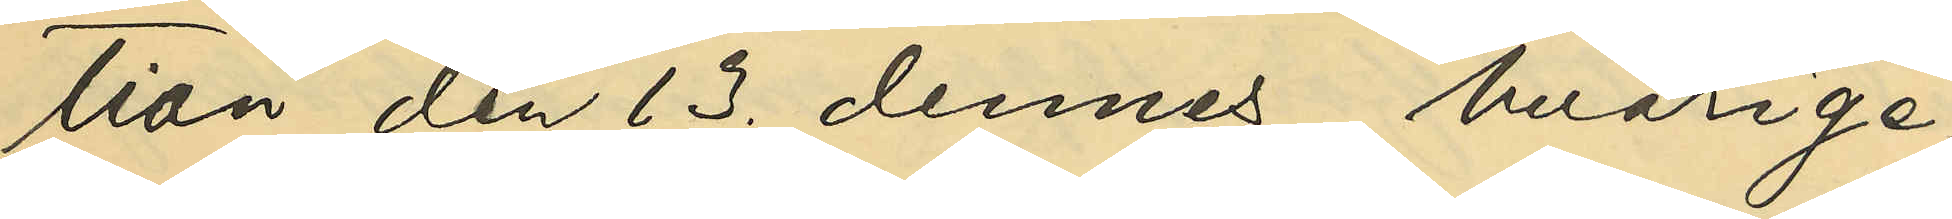tion den 13. dennes, hvarige¬
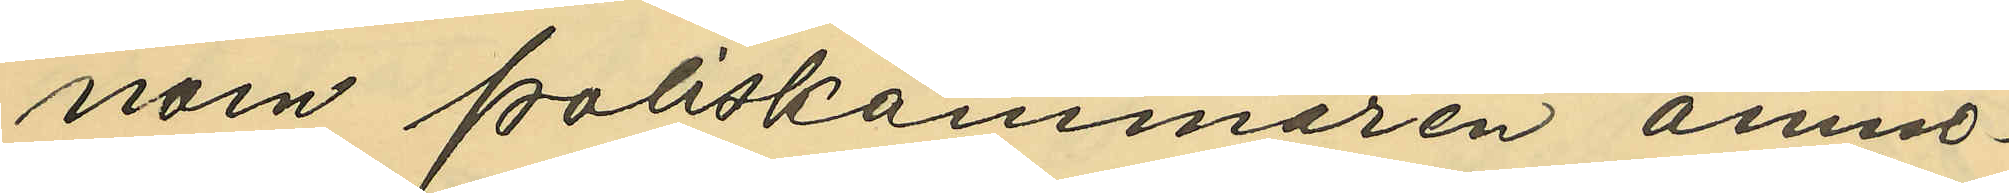nom Poliskammaren anmo¬
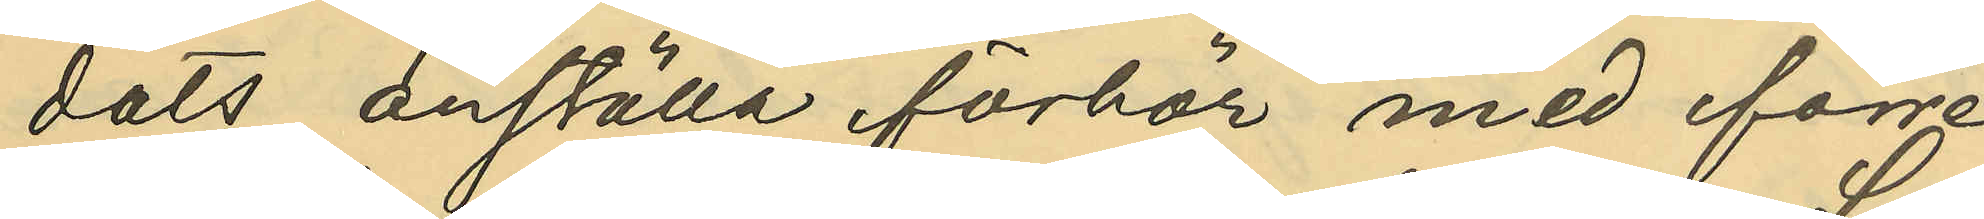dats anställa förhör med förre
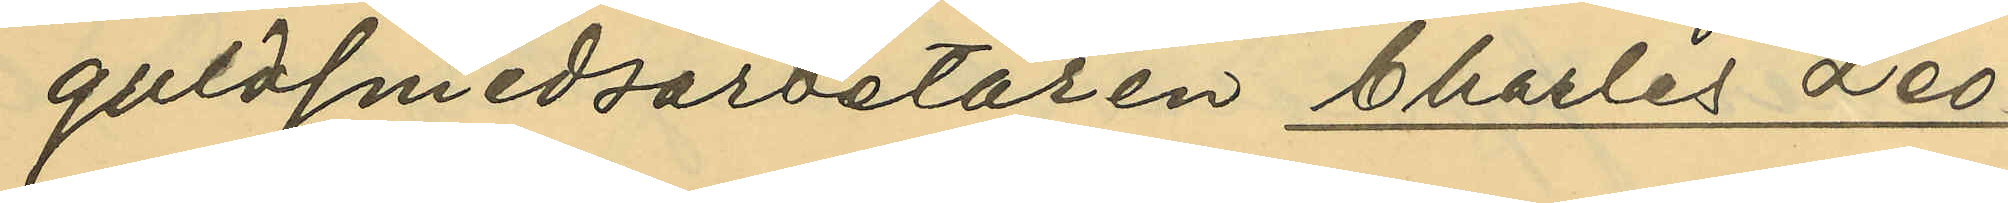guldsmedsarbetaren Charles Leo¬
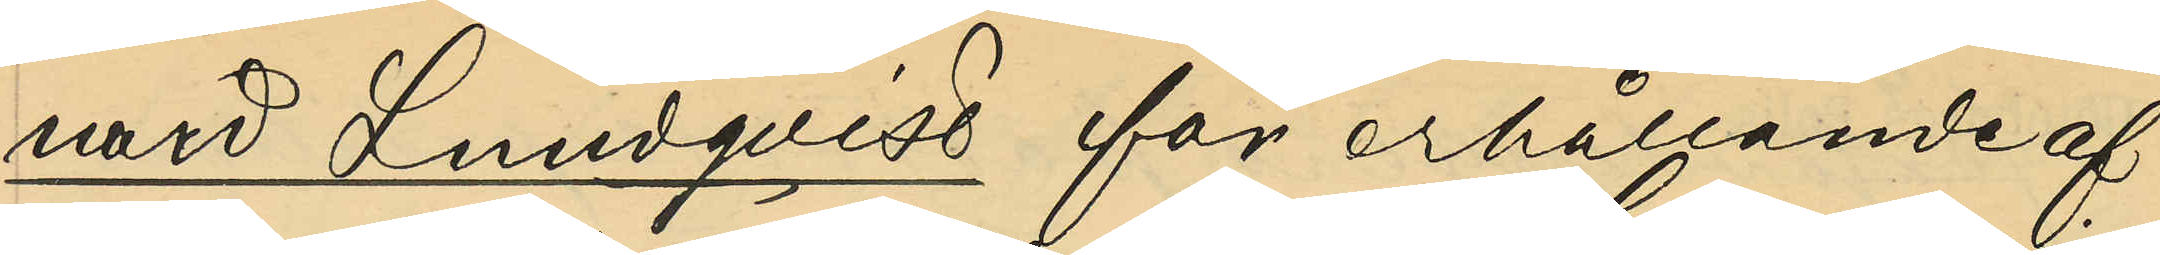nard Lundqvist för erhållande af
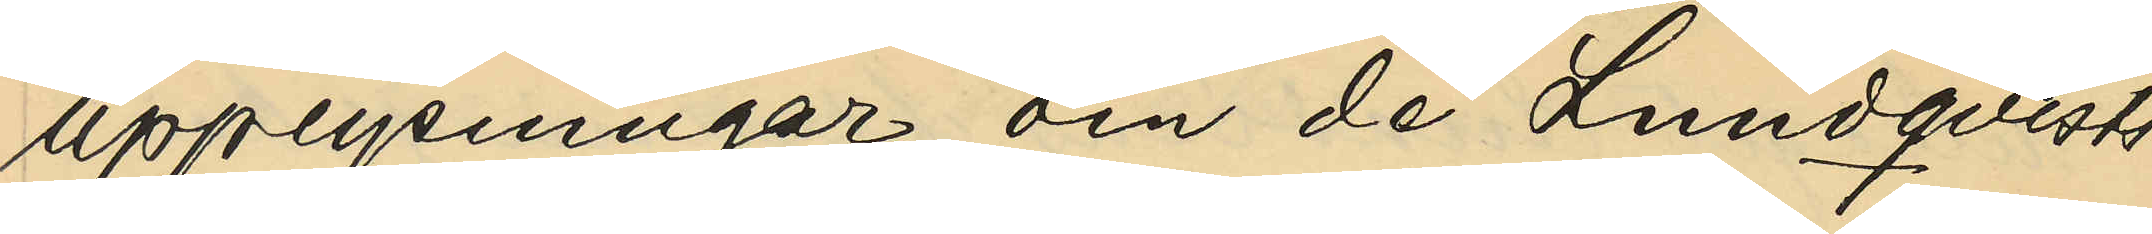upplysningar om de Lundqvists
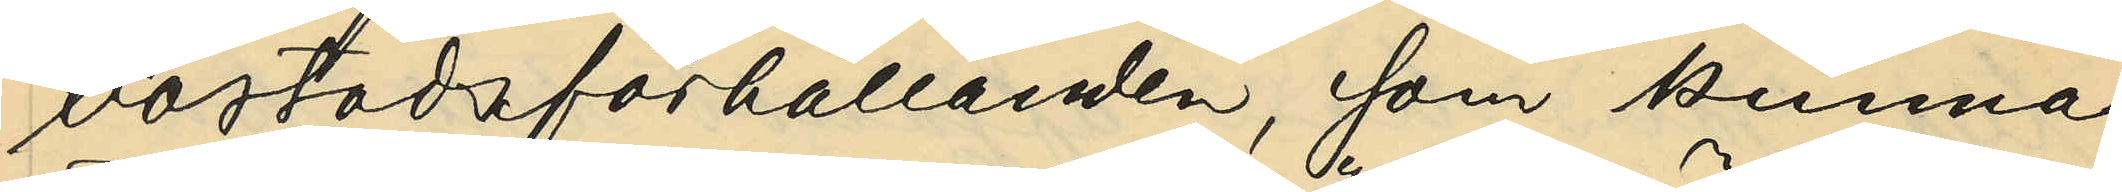bostadsförhållanden, som kunna
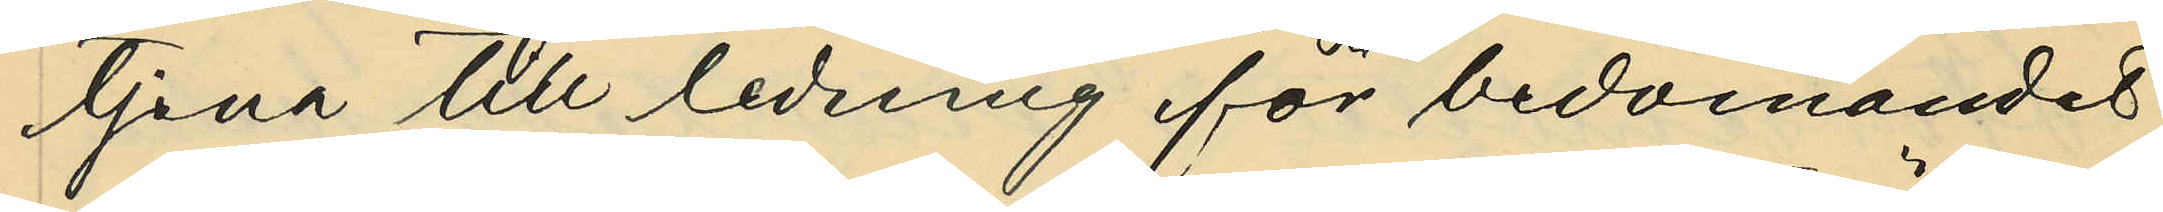tjena till ledning för bedömandet
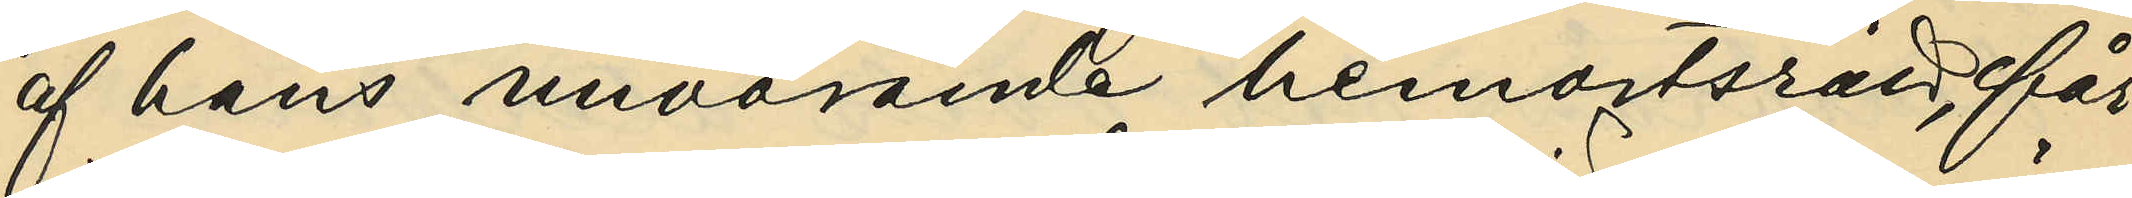af hans nuvarande hemortsrätt, får
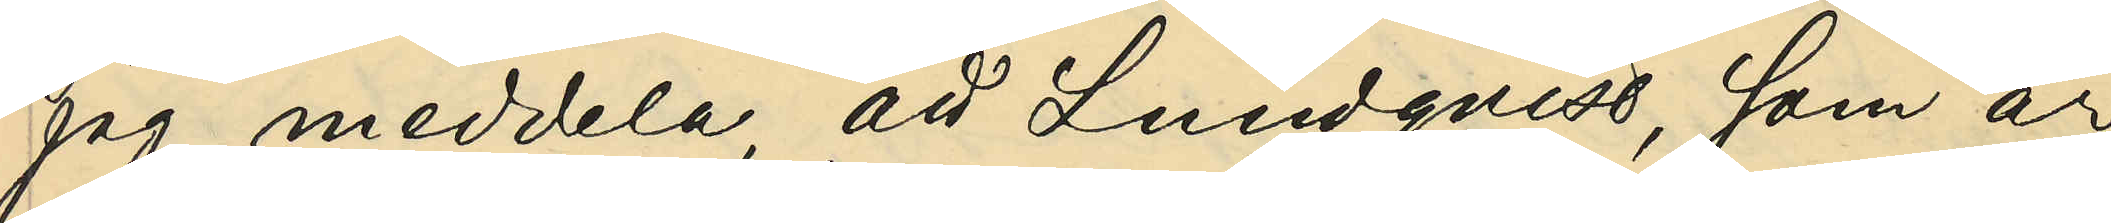jag meddela, att Lundqvist, som är
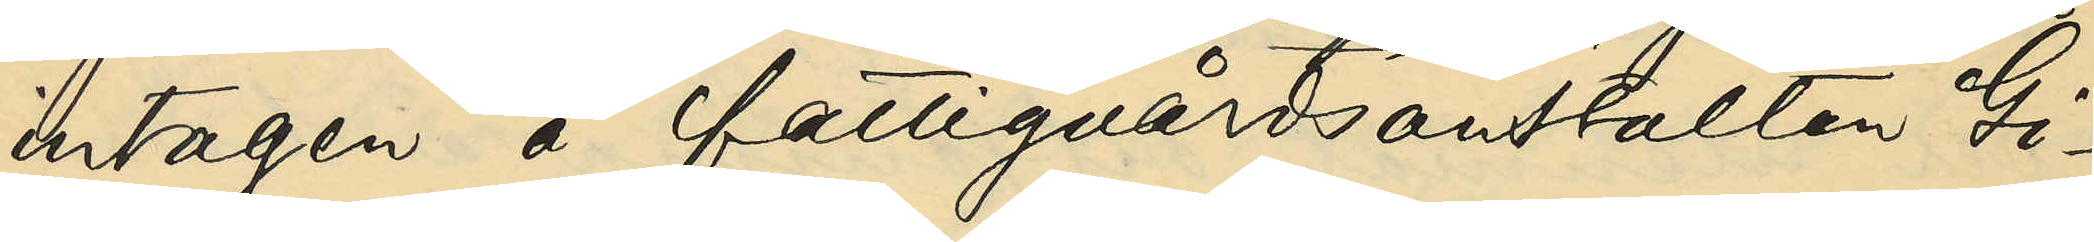intagen å fattigvårdsanstalten Gi¬
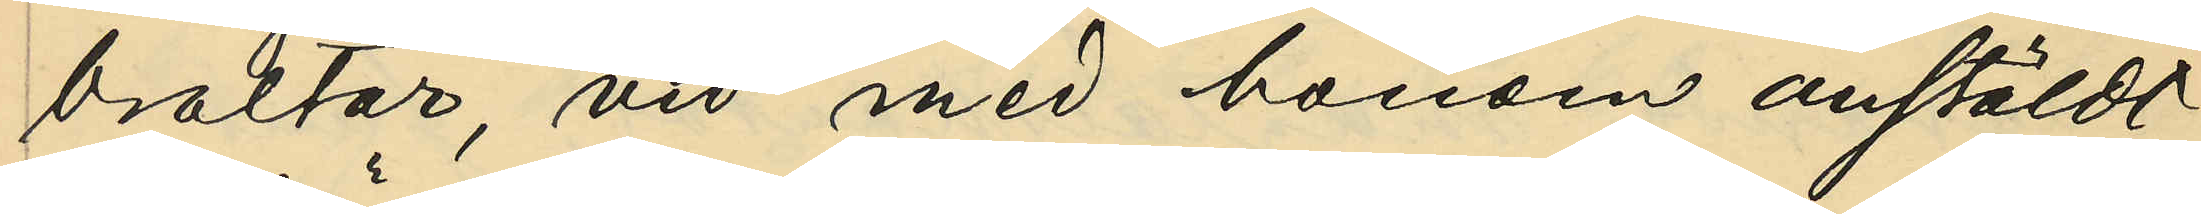braltar, vid med honom anstäldt
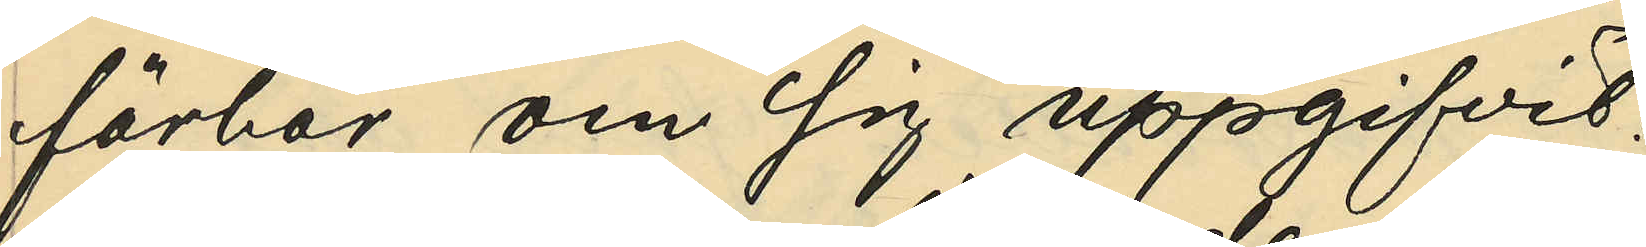förhör om sig uppgifvit:
